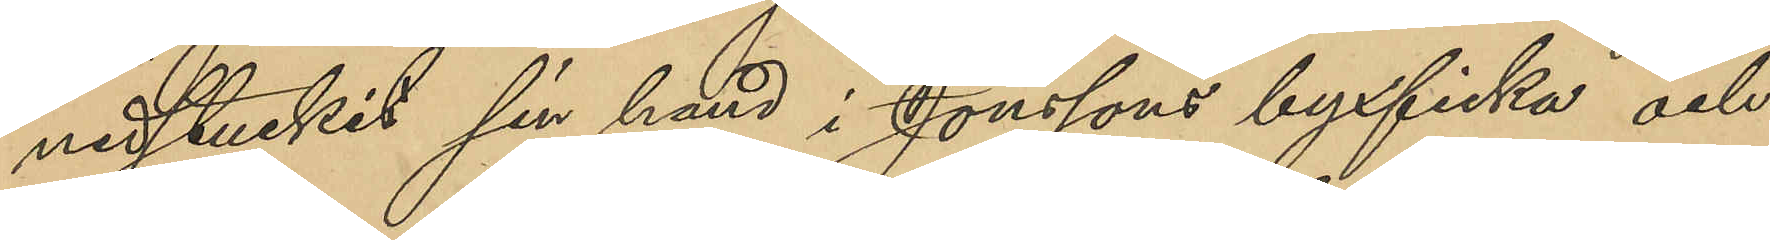nedstuckit sin hand i Jonssons byxficka och
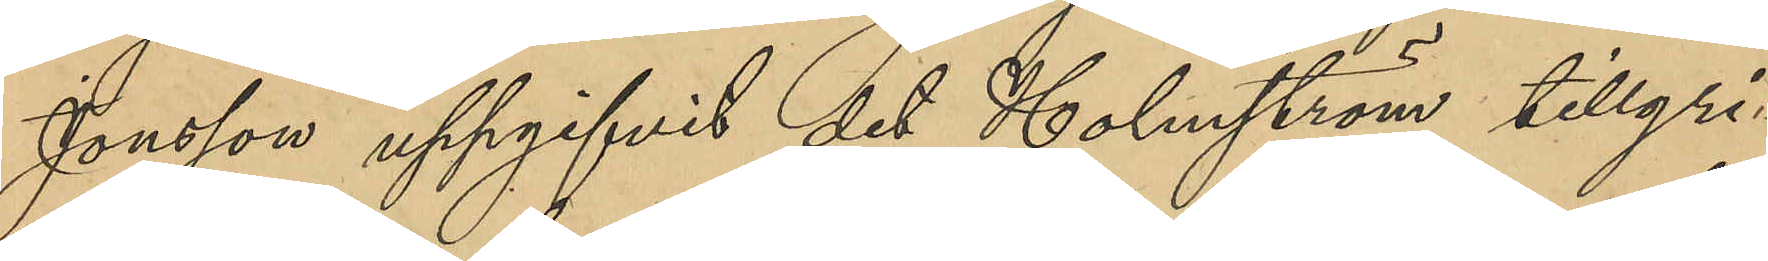Jonsson uppgifvit det Holmström tillgri¬
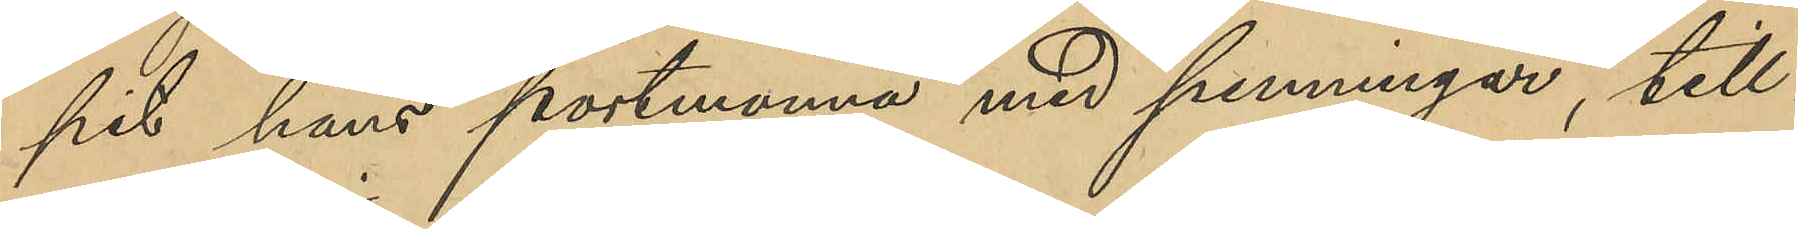pit hans portmonnä med penningar, till¬
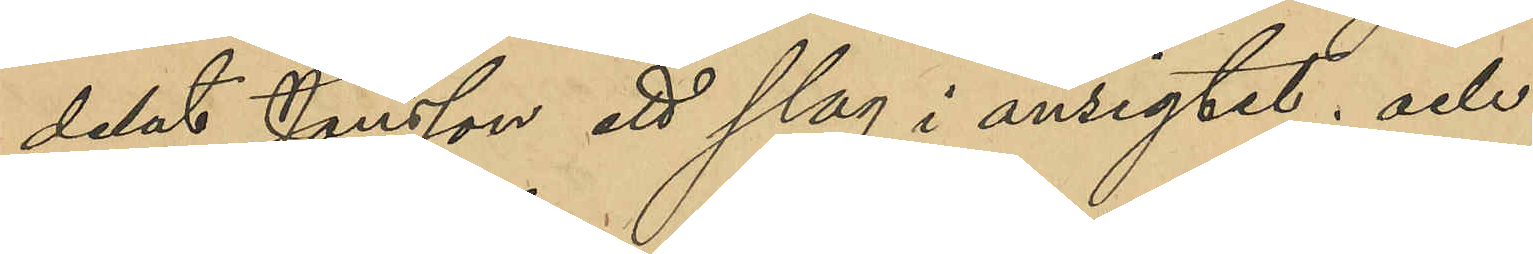delat Jonsson ett slag i ansigtet; och
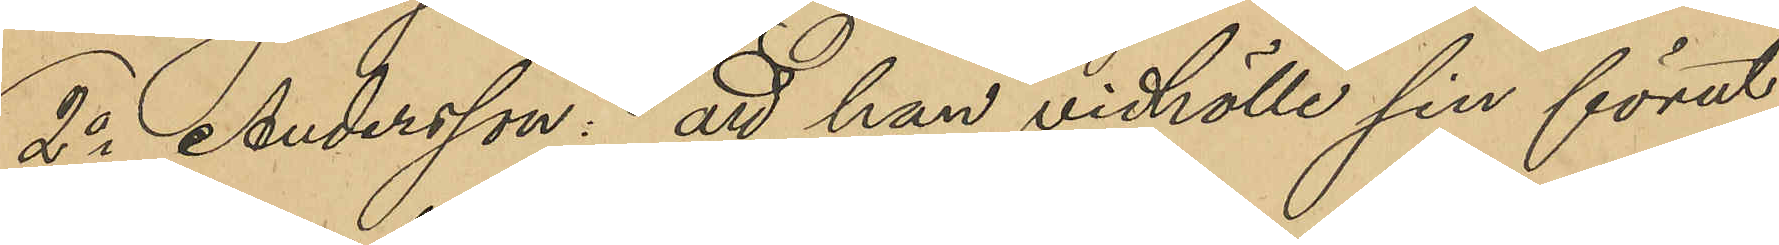2o Andersson: att han vidhölle sin förut
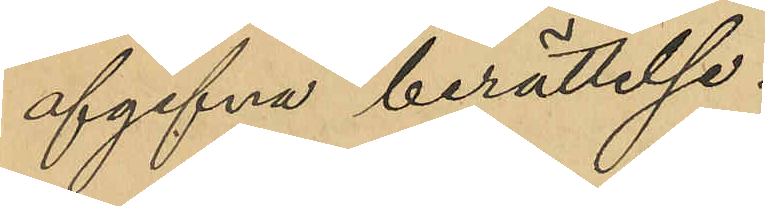afgifna berättelse.
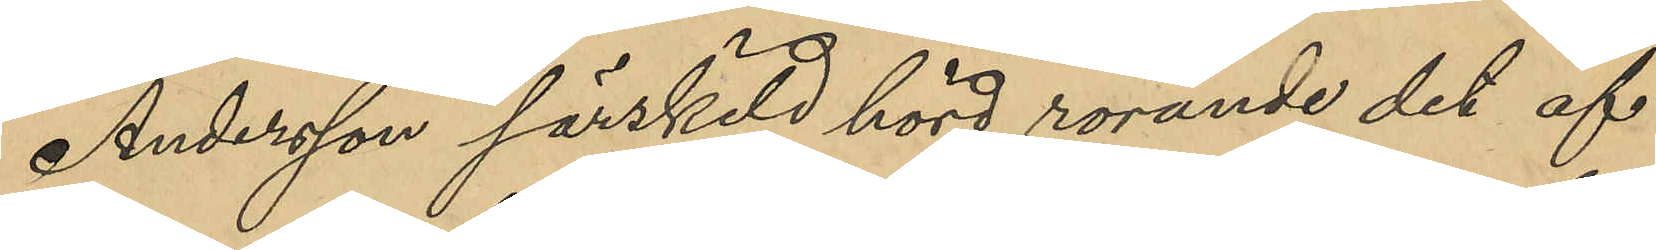Andersson särskild hörd rörande det af
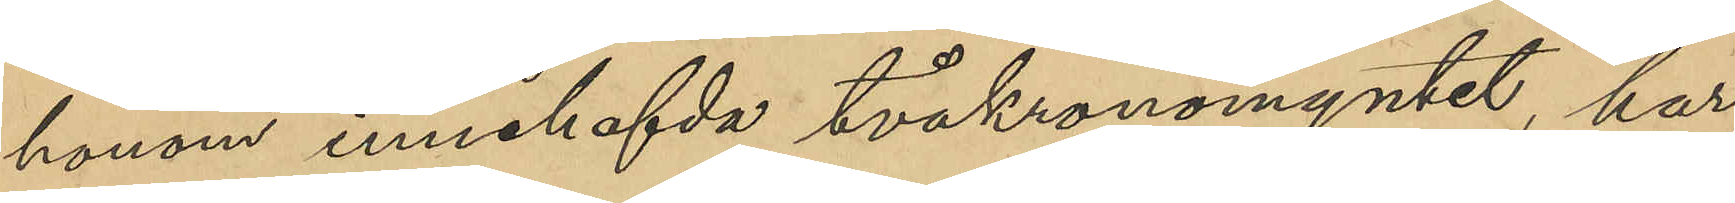honom innehafvda tvåkronomyntet, har
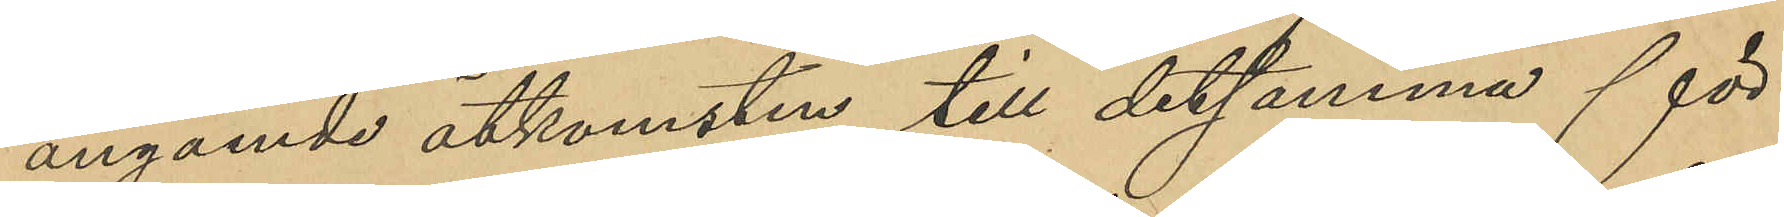angående åtkomsten till detsamma för¬
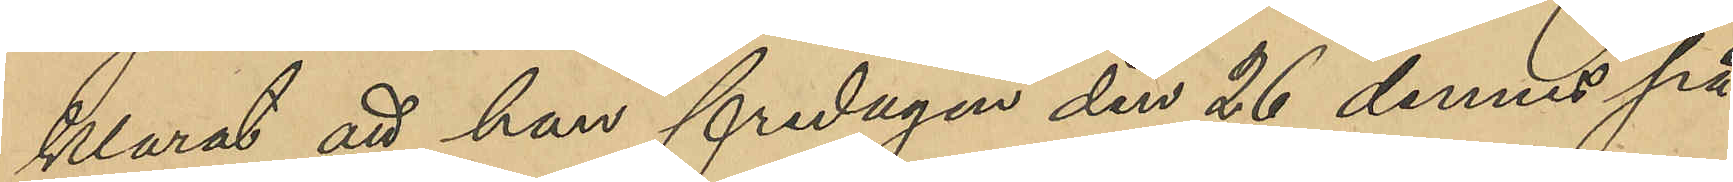klarat att han fredagen den 26 dennes på
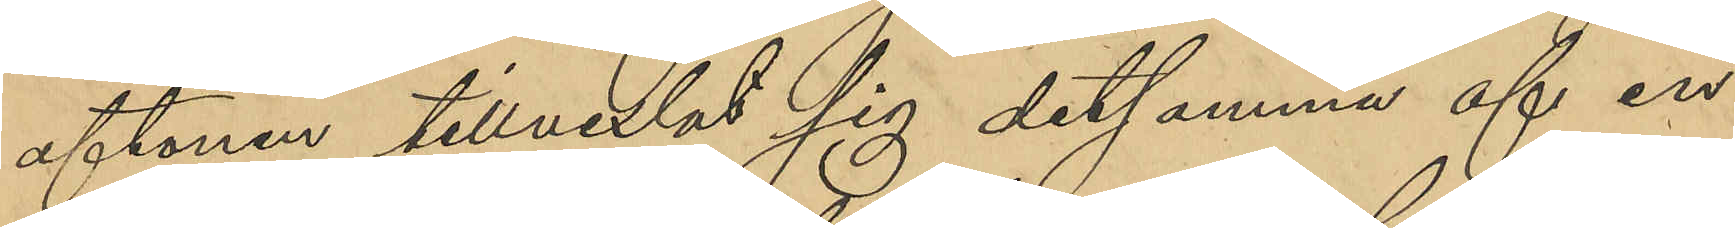aftonen tillvexlat sig detsamma af en
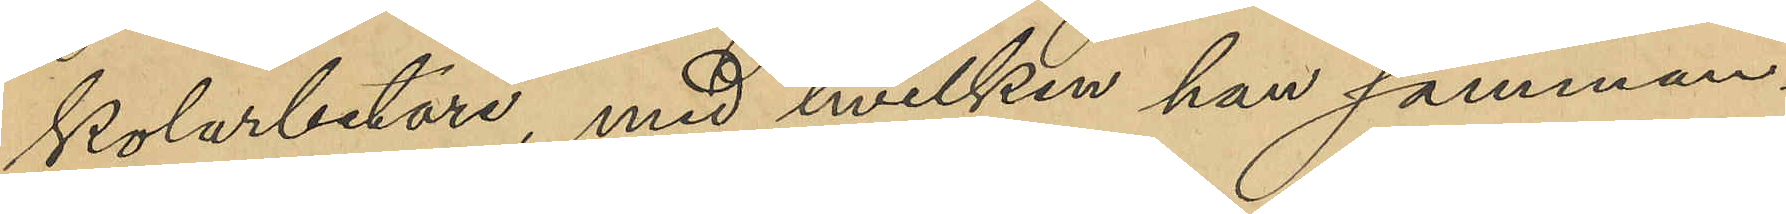Kolarbetare, med hvilken han samman¬
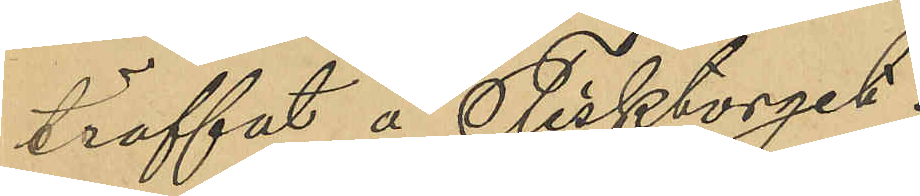träffat å Fisktorget.
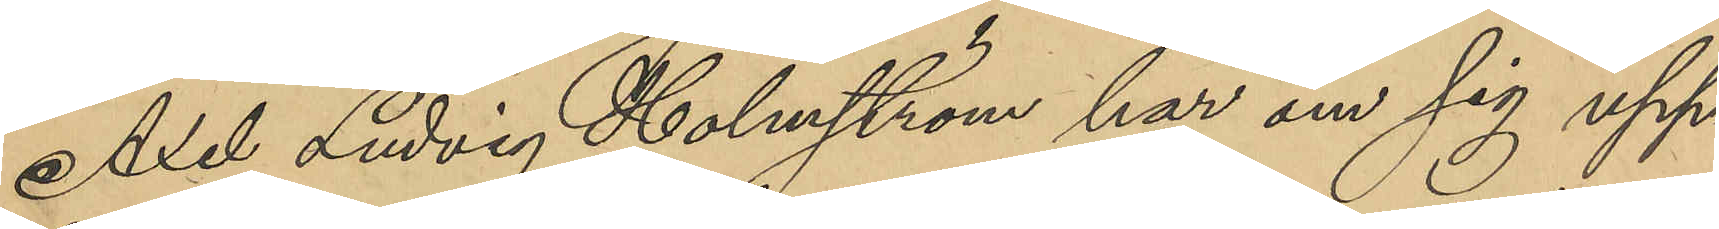Axel Ludvig Holmström ha om sig upp¬
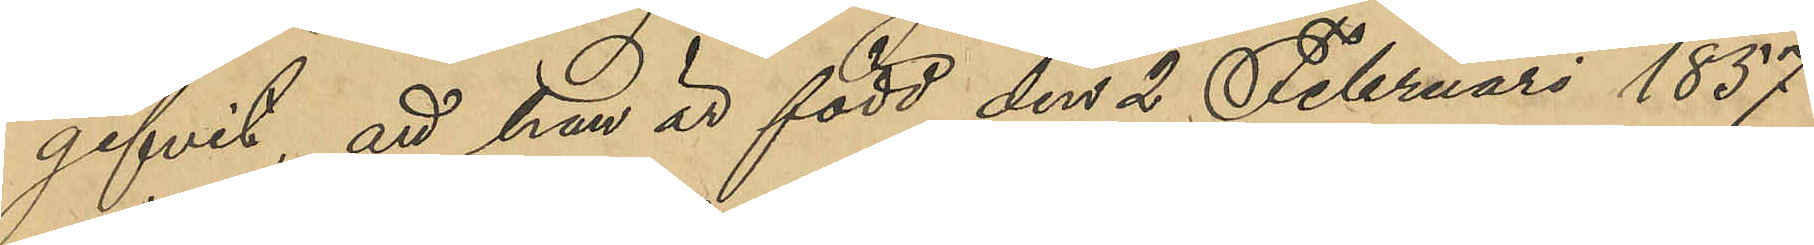gifvit, att han är född den 2 Februari 1857
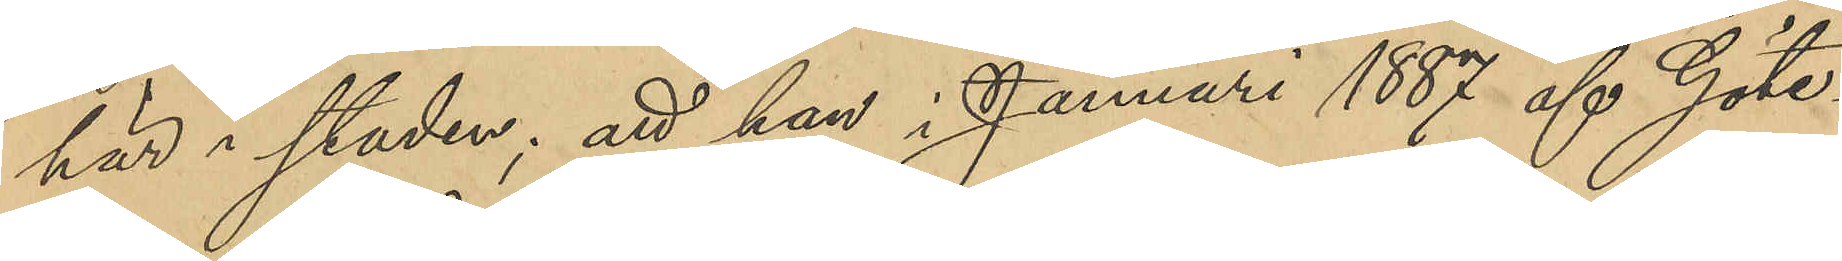här i staden; att han i Januari 1887 af Göte¬
